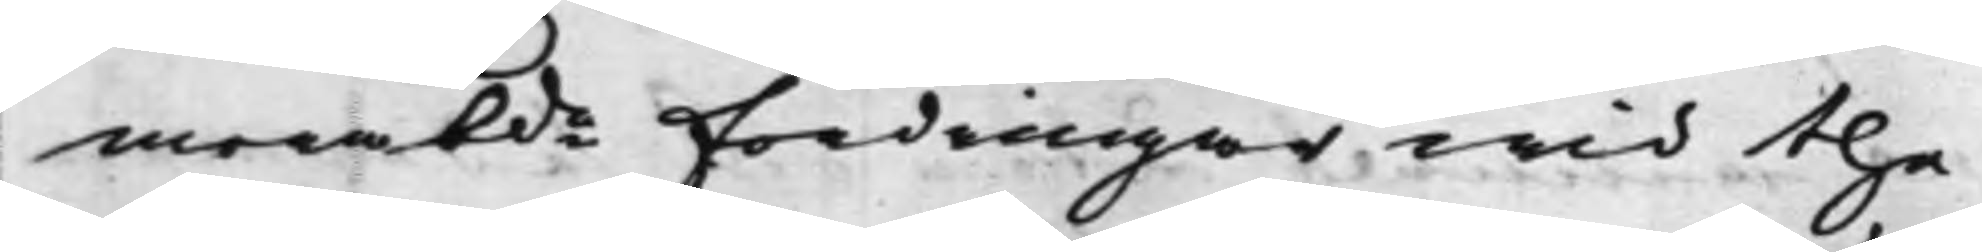merabde fordringar wid the
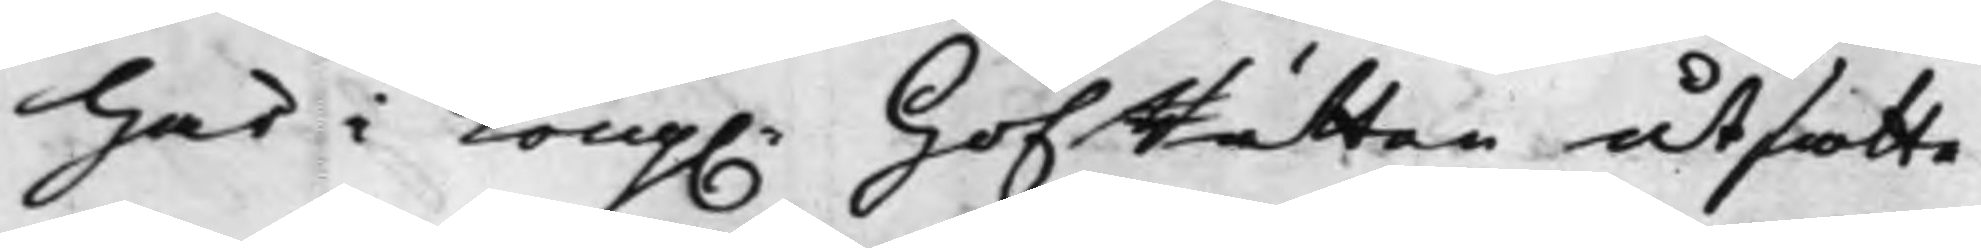här i Kong. HofRätten utsatte
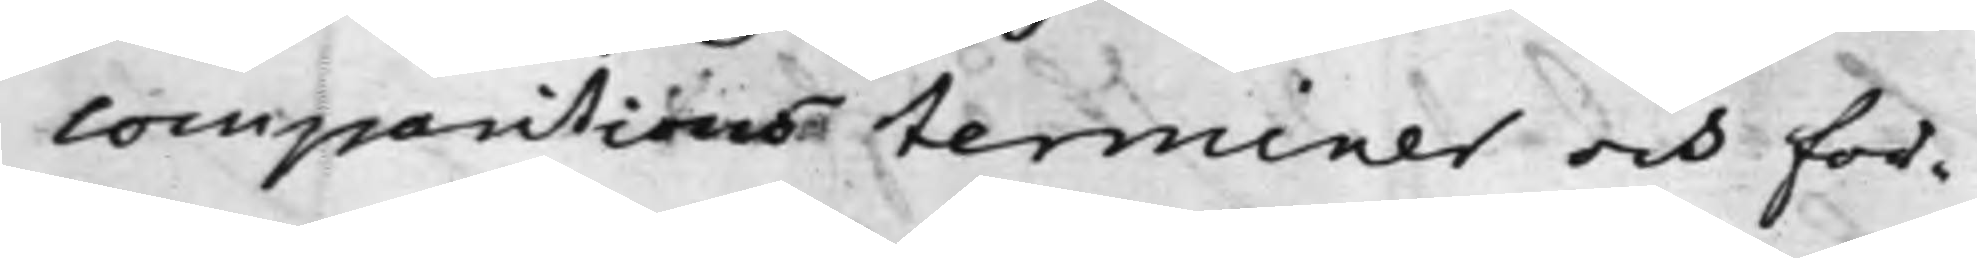comparitionsterminer och för¬
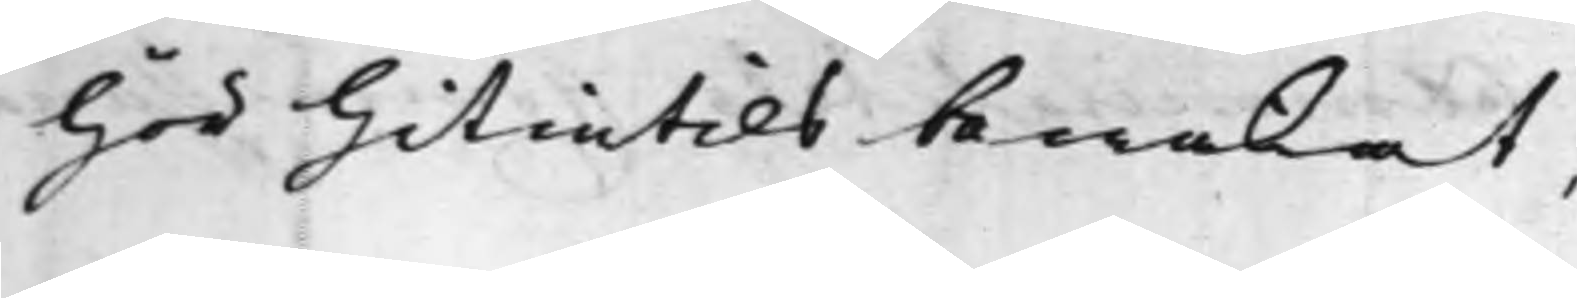hör hitintils bewakat,
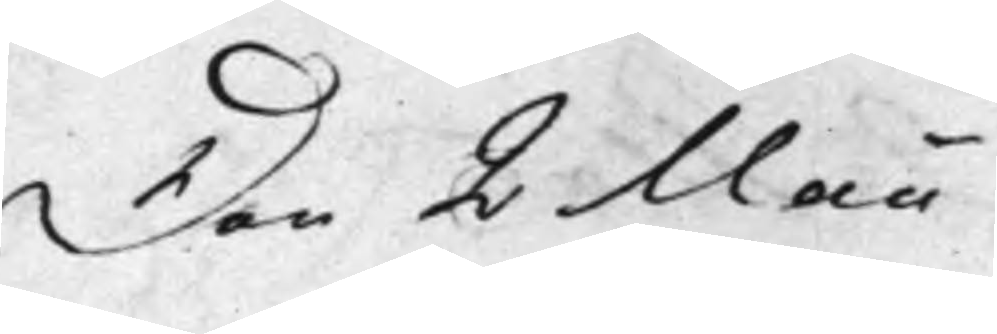Den 2 Maii
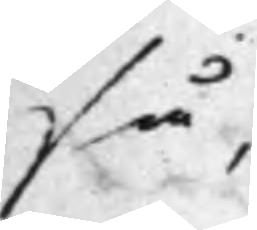så,
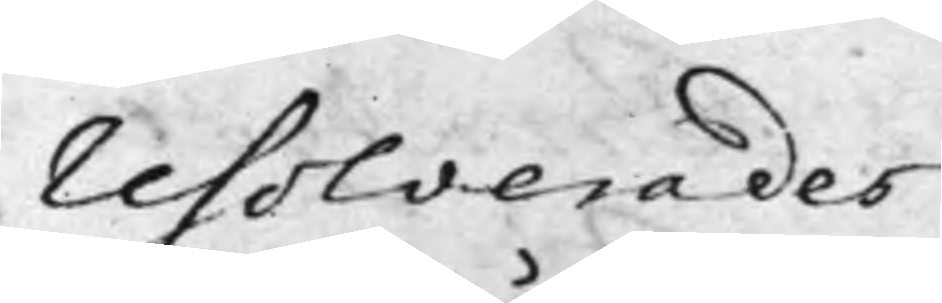resolverades
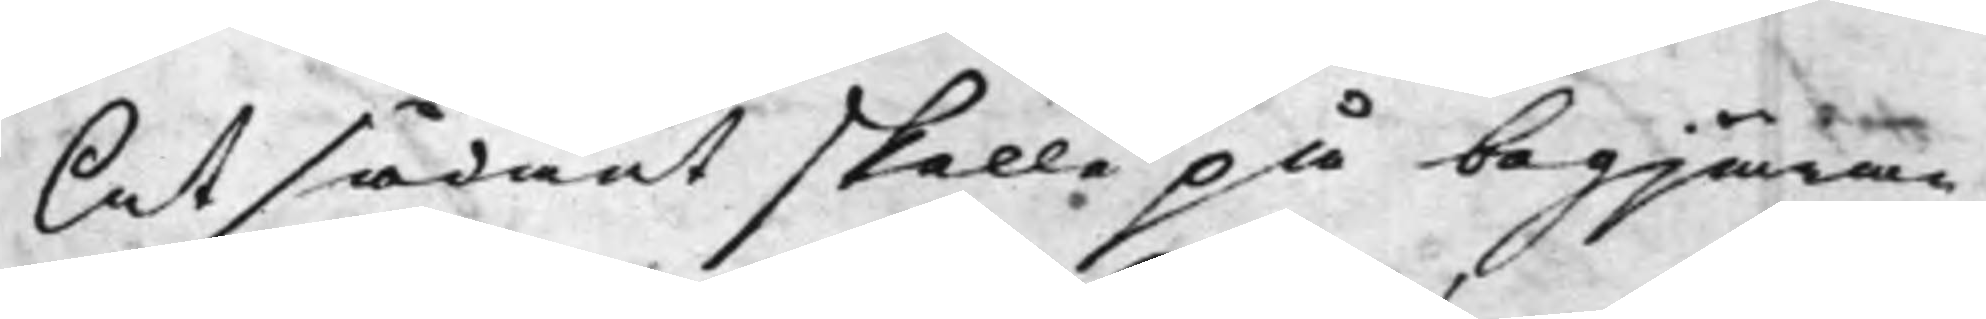At sådant skulle på begjäran,
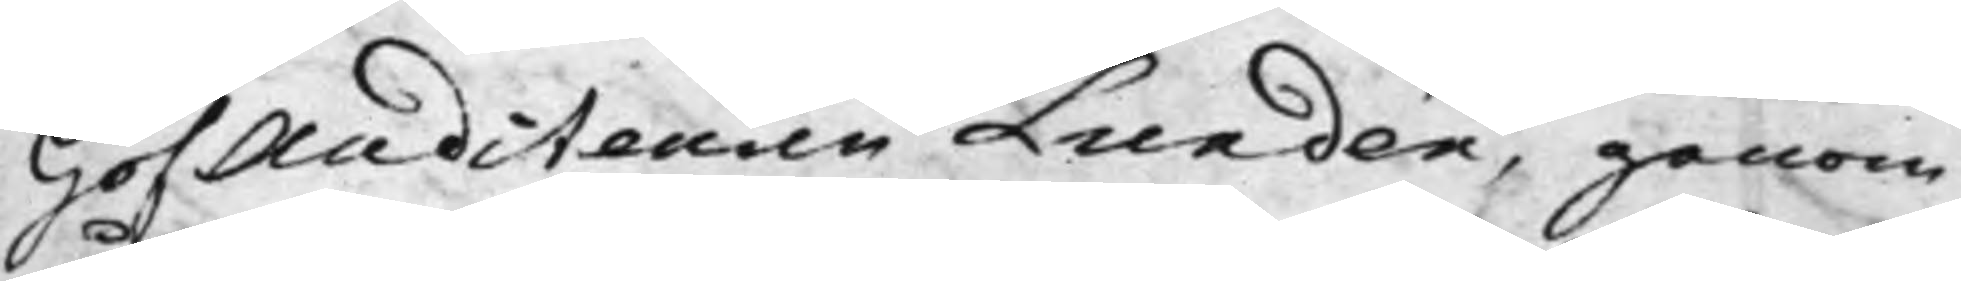HofAuditeuren Lundén, genom
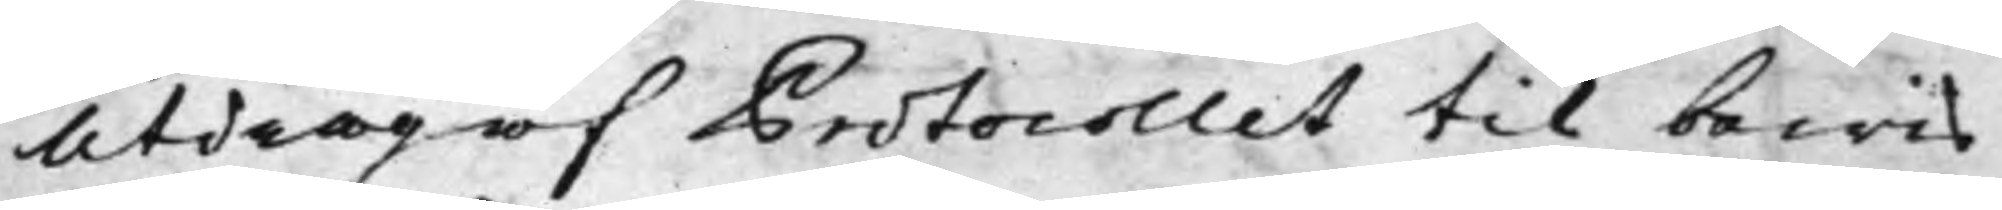Utdrag af Protocollet til bewis
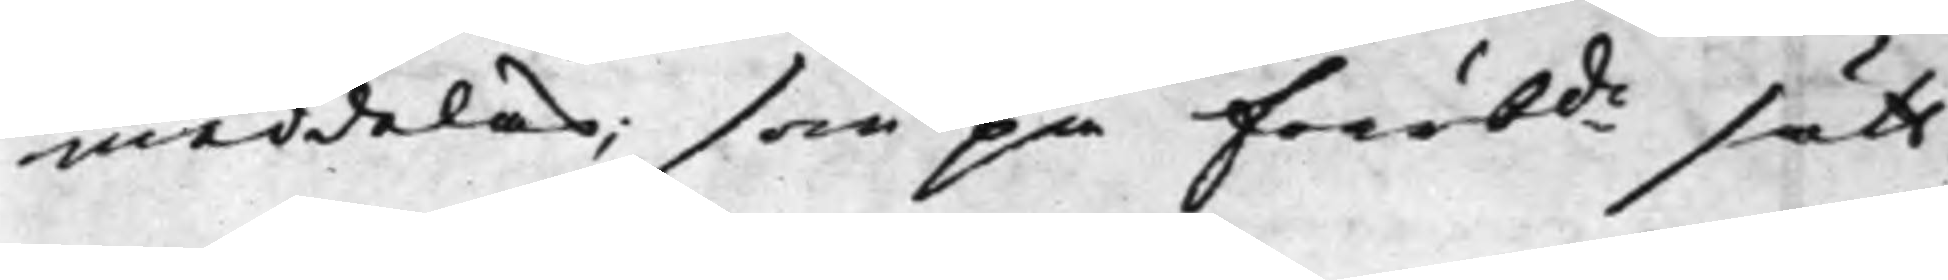meddelas; som på förrbde sätt
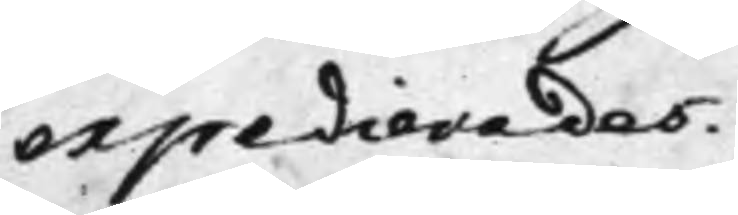expedierades.
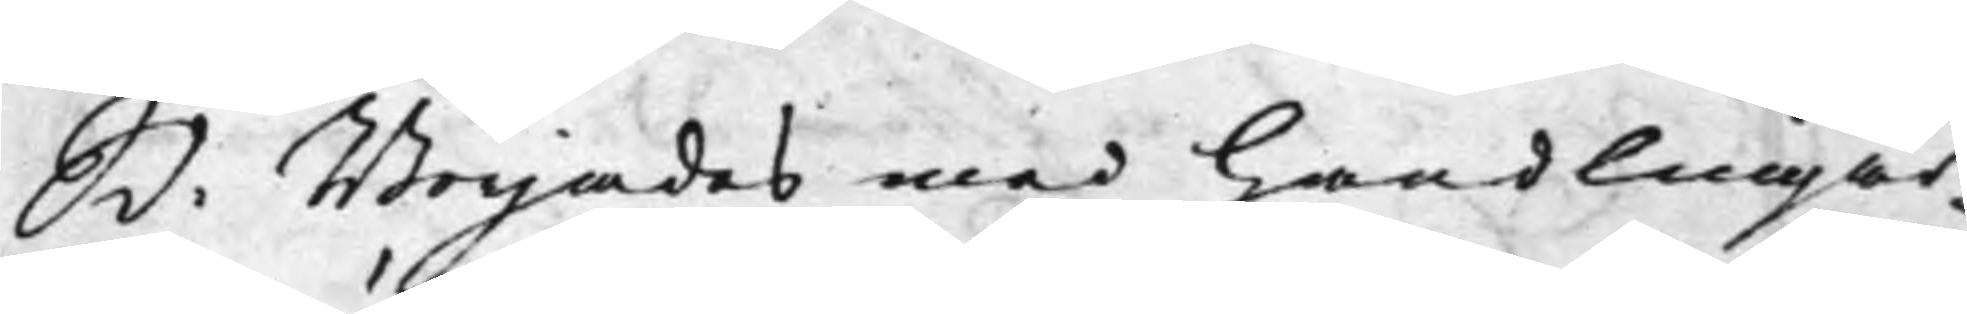S d: Börjades med handligar¬
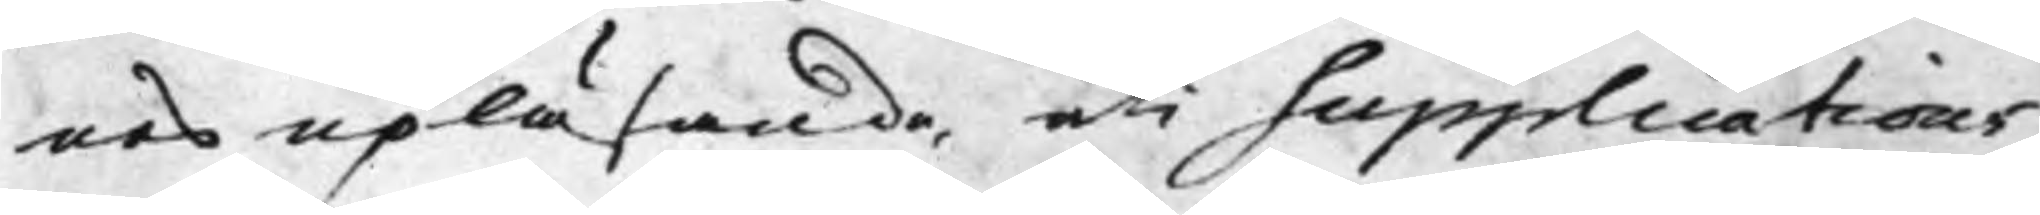nes upläsande, uti Supplications
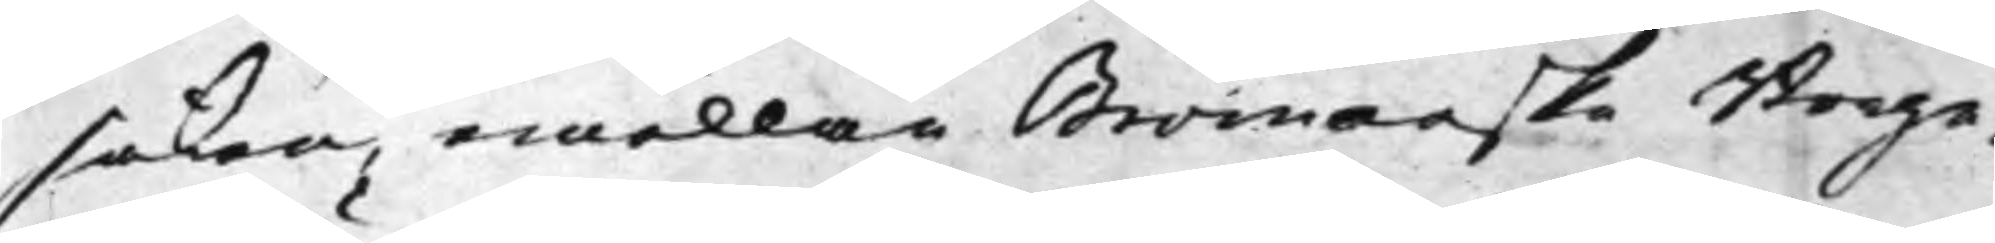saken, emellan Bromanske Borge¬
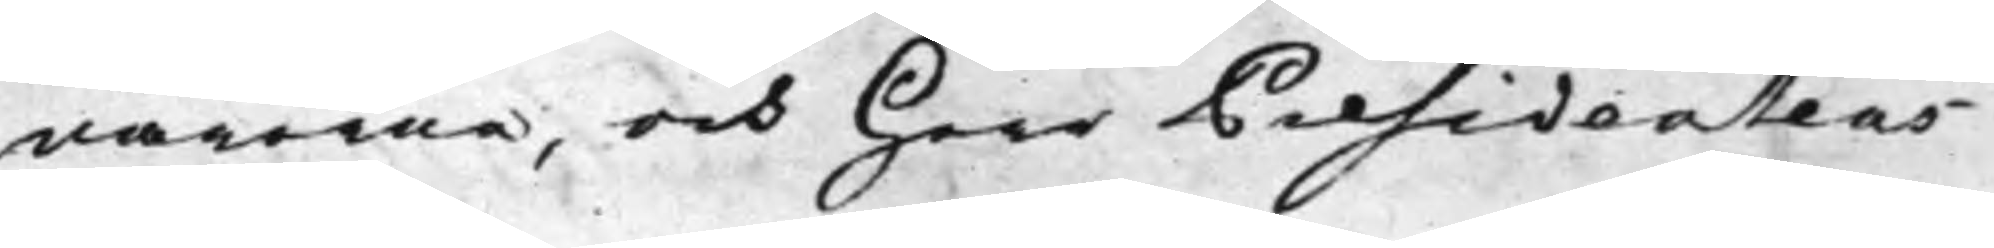närerne, och Herr Presidentens
